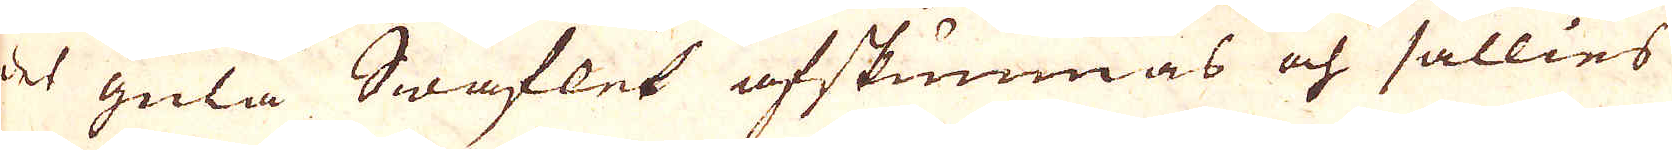des gula Swaflet afskumnas och sällies
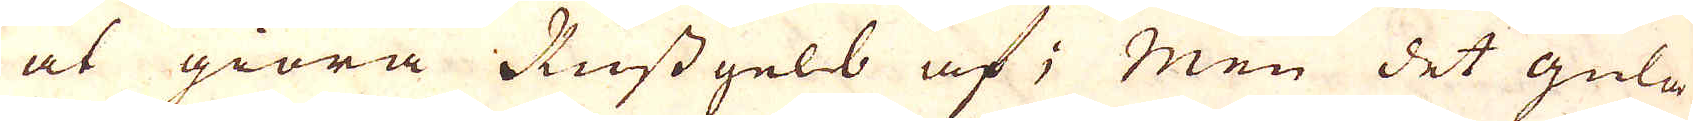at giöra Russ gelb af; Men det gula
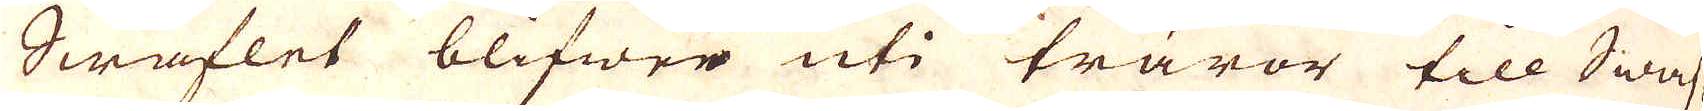Swaflet blifwer uti trärör till Swaf-
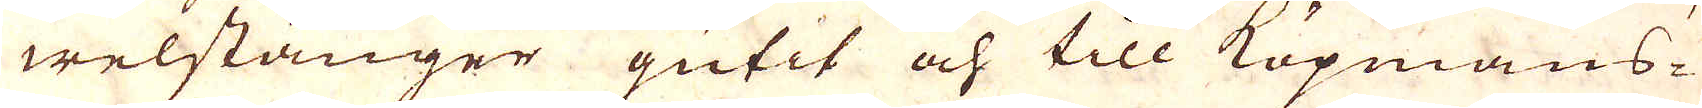welstänger gutit och till Köpmans-
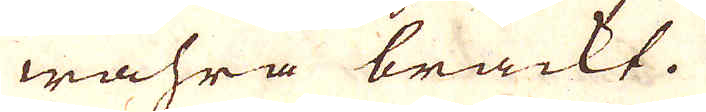wahra brackt.
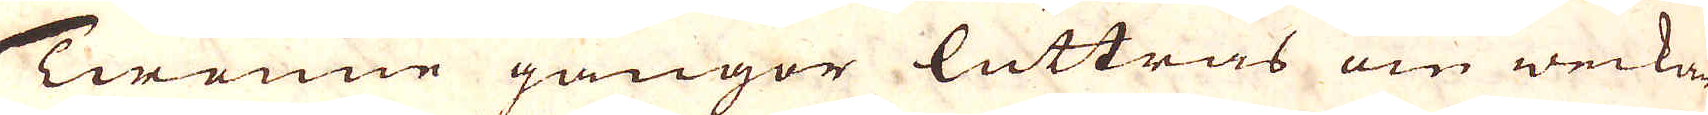Twenne gångor luttras om weckan,
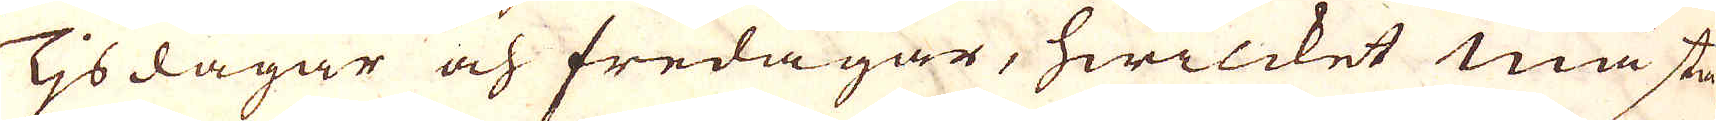Tisdagar och fredagar, hwilcket mästa-
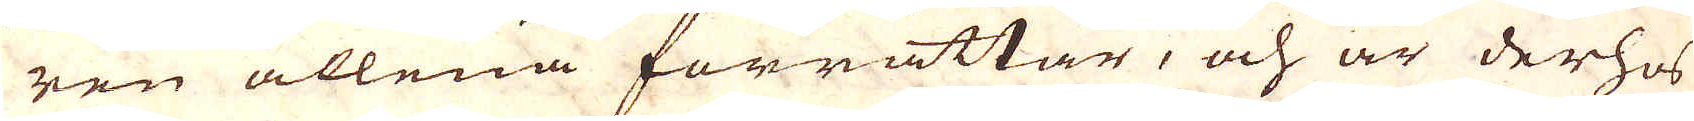ren allena förrättar, och är derhos
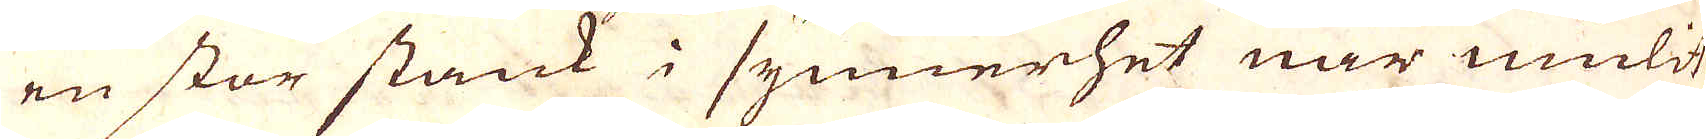en stor stank i synnerhet när mulit
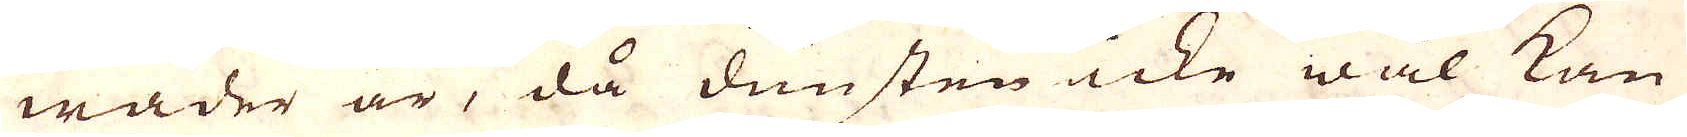wäder är, då dunsten icke wäl kan
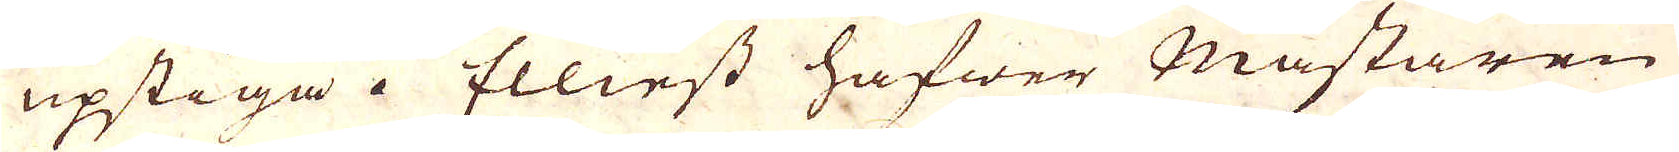upstiga. Elliest hafwer Mästaren
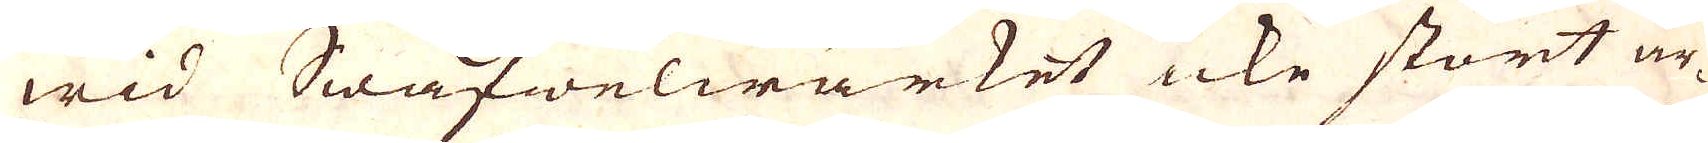wid Swafwelwärket icke stort ar-
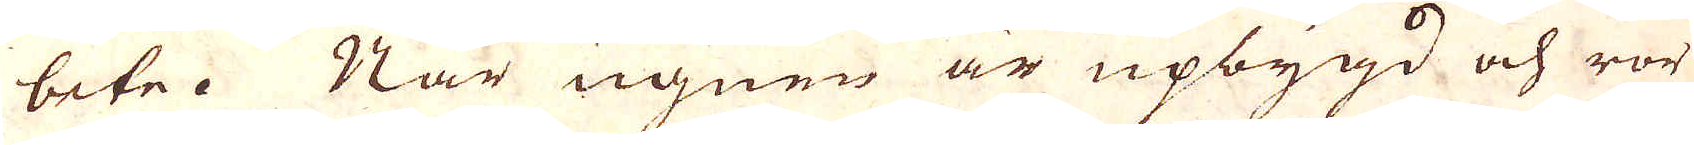bete. När ugnen är upbygd och rör
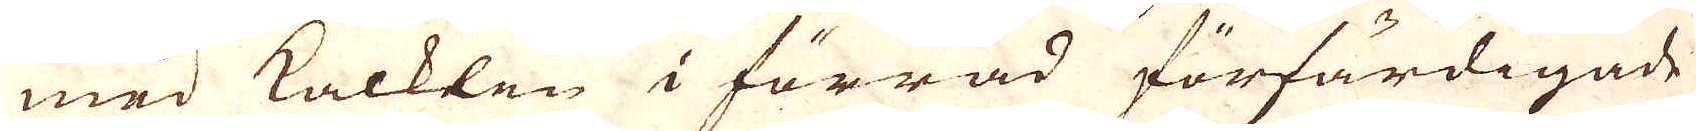med Kalklen i förråd förfärdigade
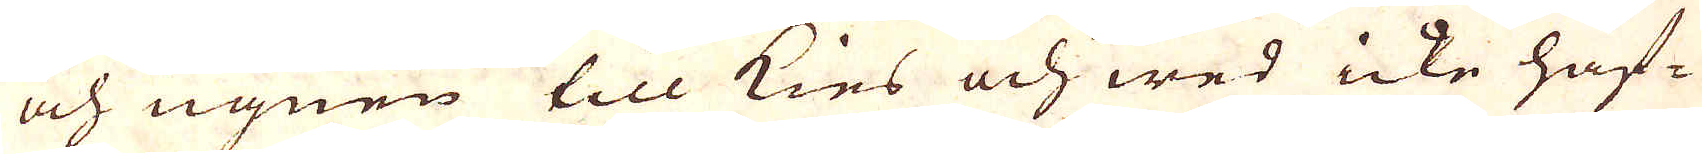och ugnen till kies och wed icke haf-
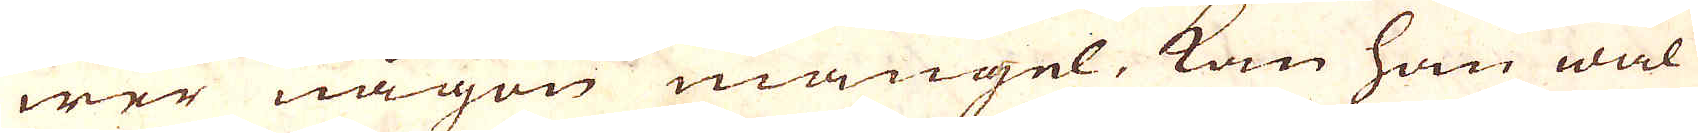wer någon mangel, kan han wäl
